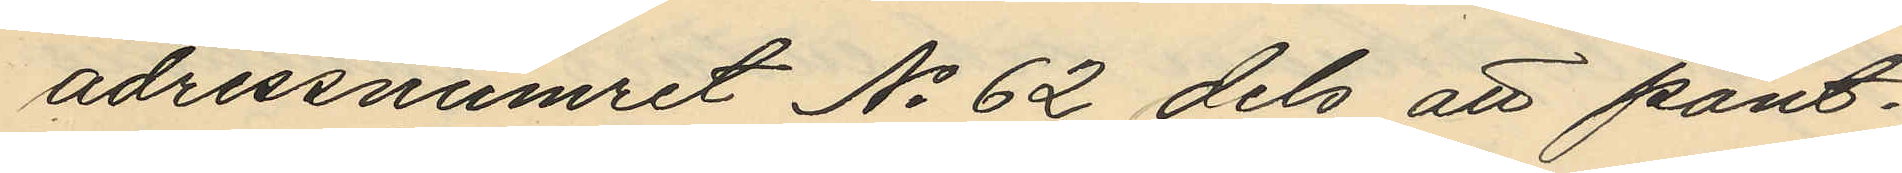adressnumret No 62 dels att pant¬
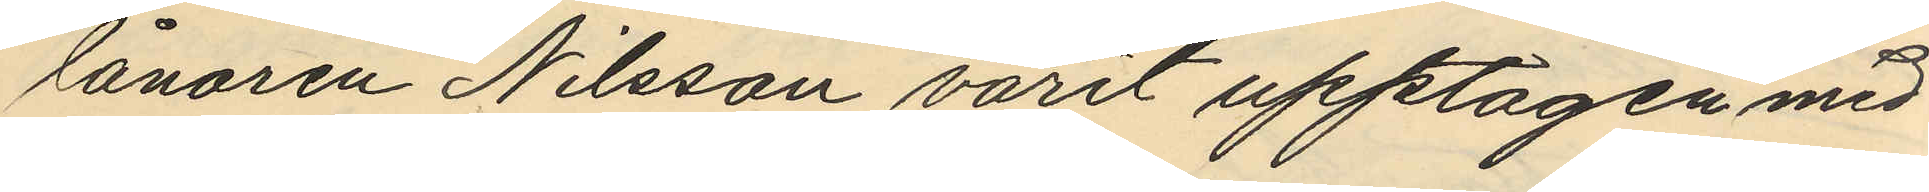lånaren Nilsson varit upptagen med
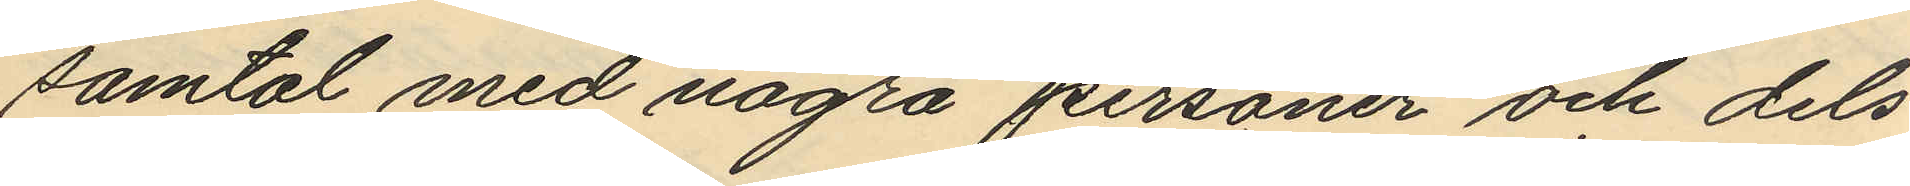samtal med några personer och dels
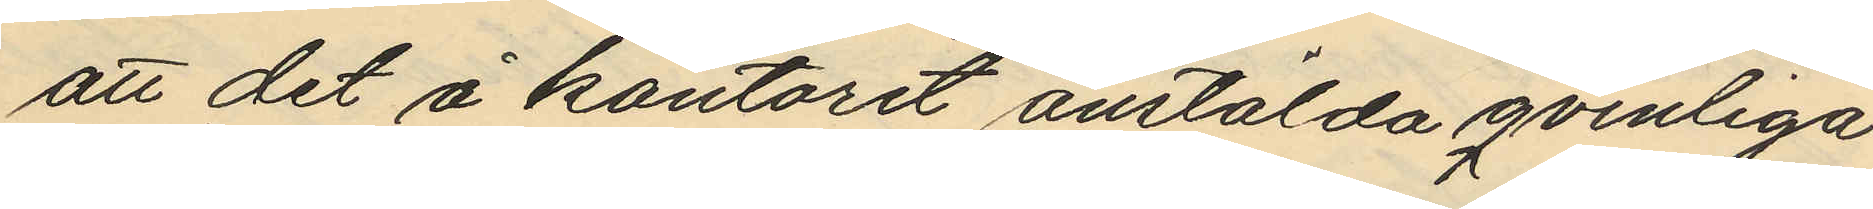att det å kontoret anstälda qvinliga
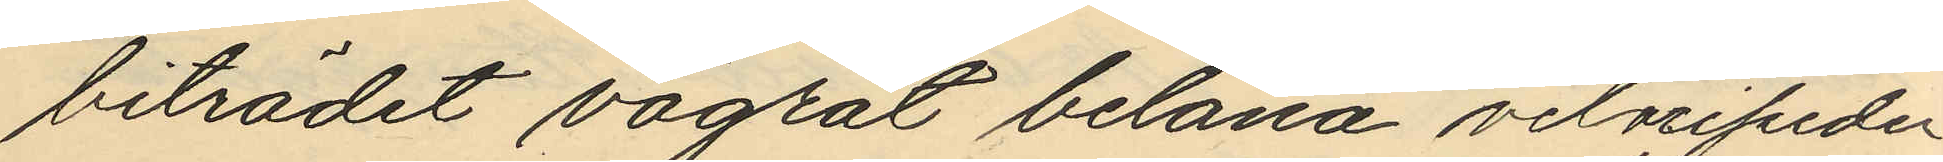biträdet vägrat belåna velocipeden
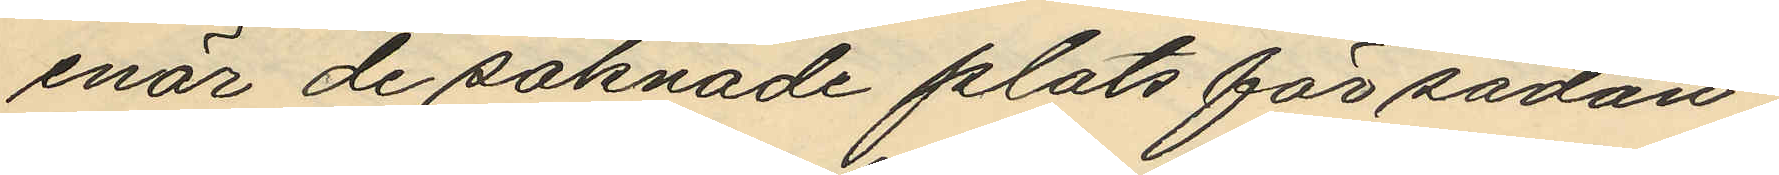enär de saknade plats för sådan,
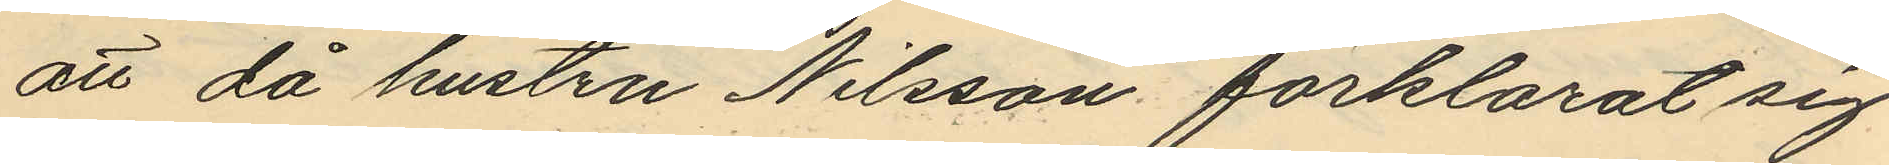att då hustru Nilsson förklarat sig
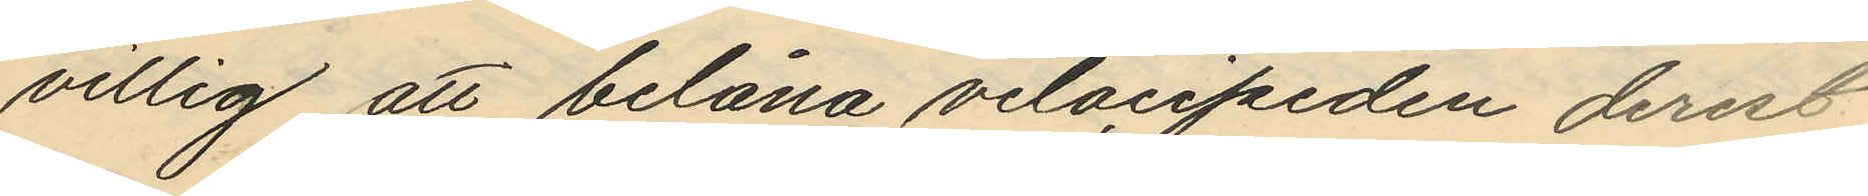villig att belåna velocipeden derest
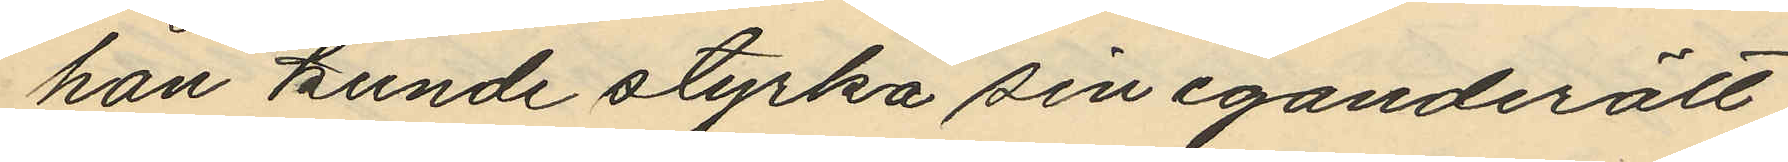han kunde styrka sin eganderätt
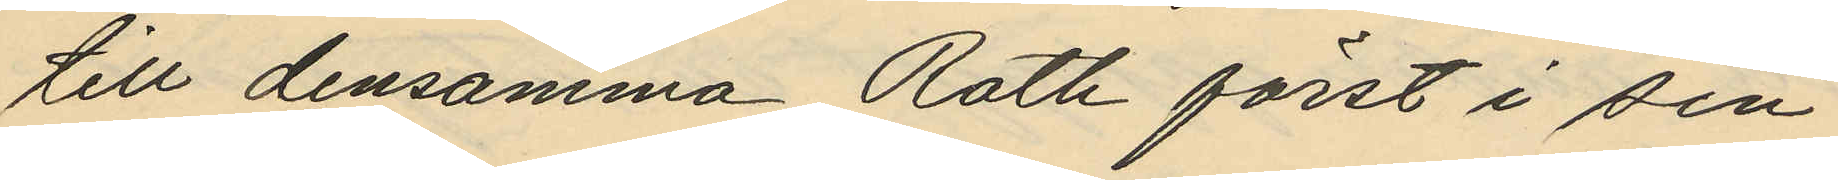till densamma Roth först i sin
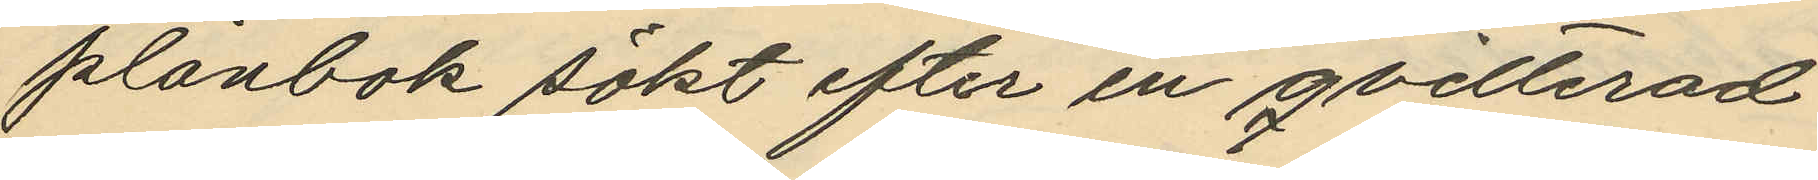plånbok sökt efter en qvitterad
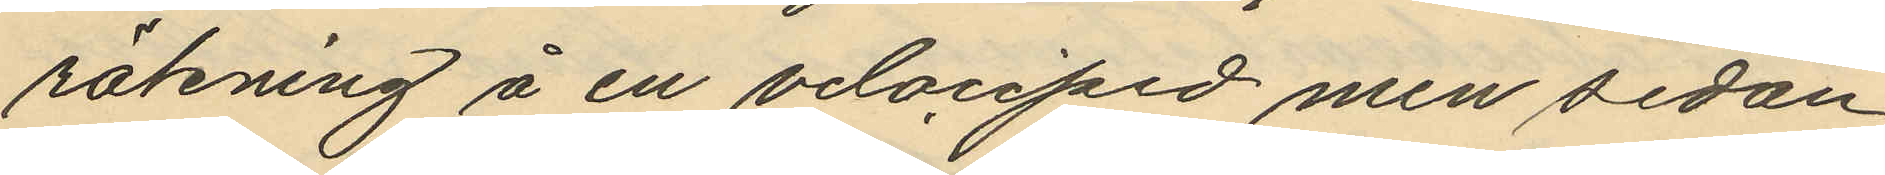räkning å en velociped men sedan
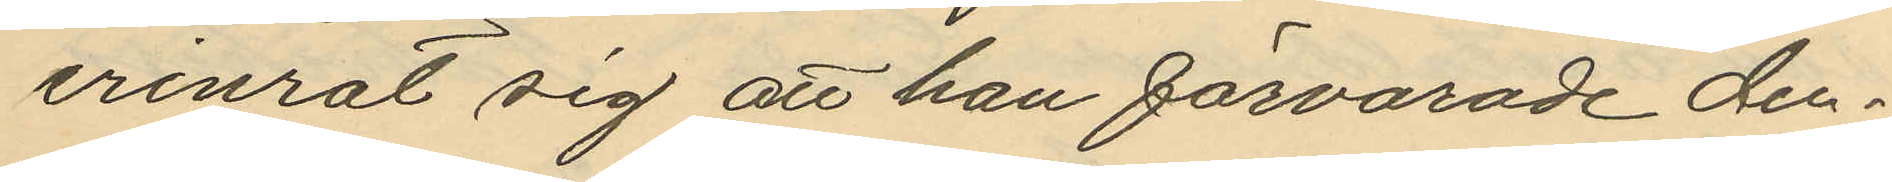erinrat sig att han förvarade den¬
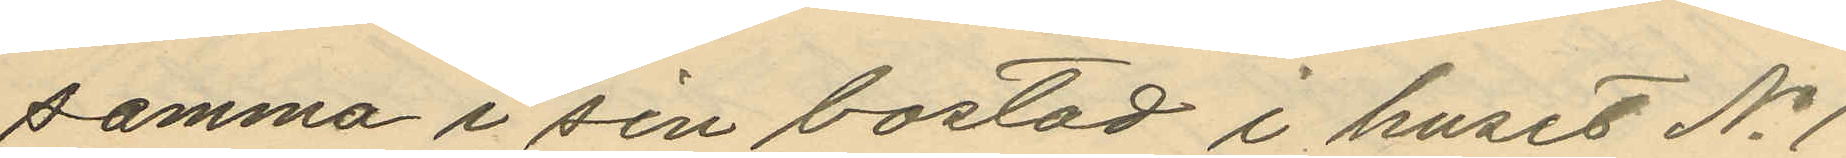samma i sin bostad i huset No 1
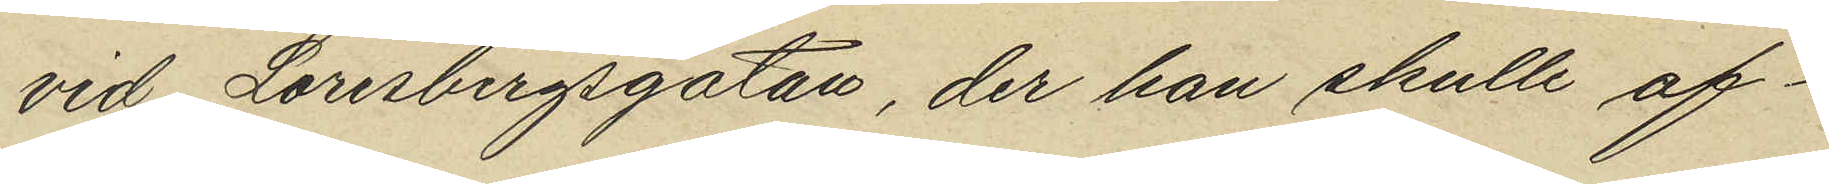vid Lorensbergsgatan, der han skulle af¬
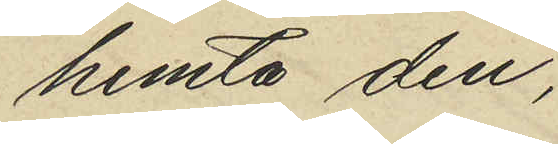hemta den,
